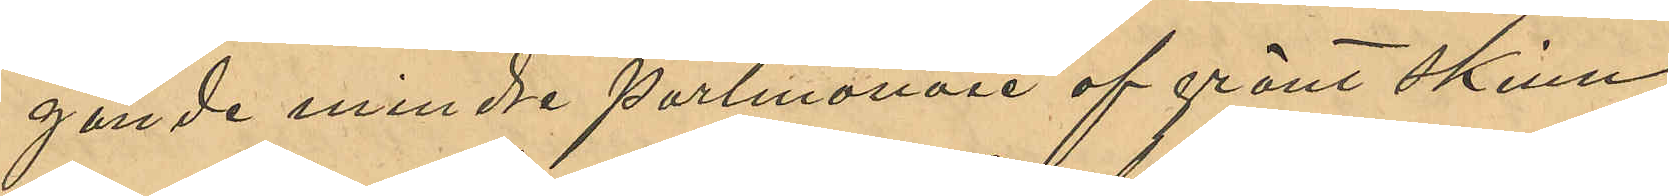gande mindre portmonaie af grönt skinn
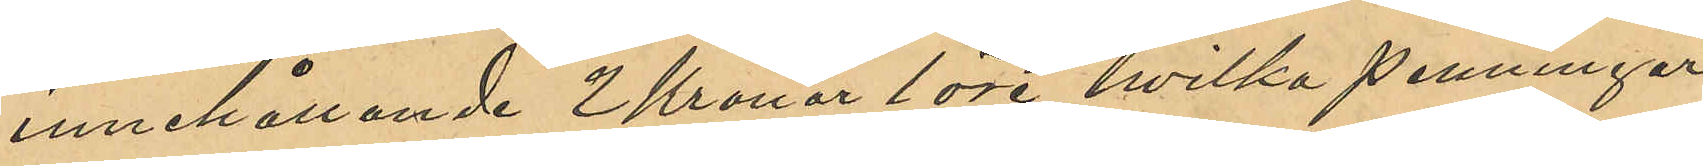innehållande 2 Kronor 1 öre, hvilka penningar
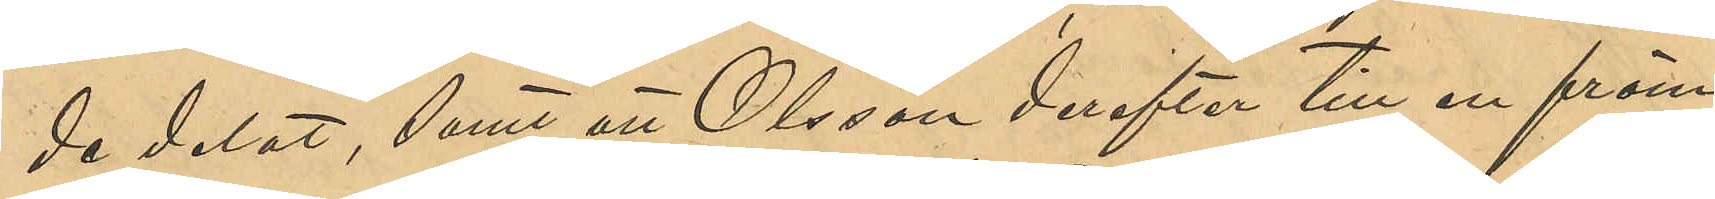de delat, samt att Olsson derefter till en främ¬
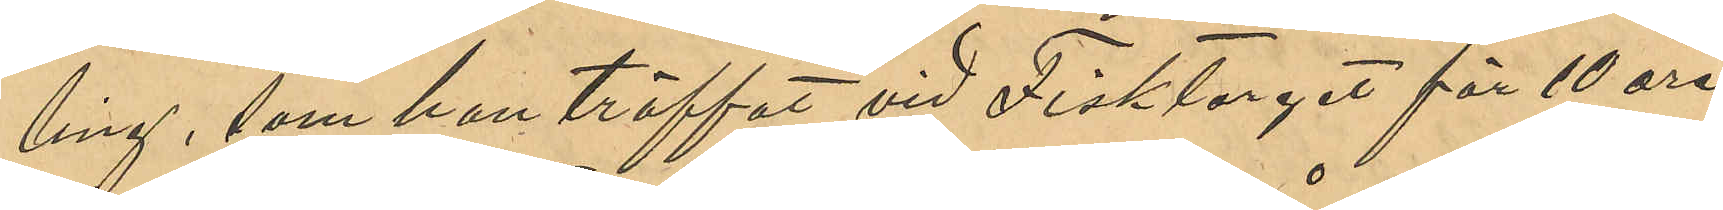ling, som han träffat vid Fisktorget för 10 öre
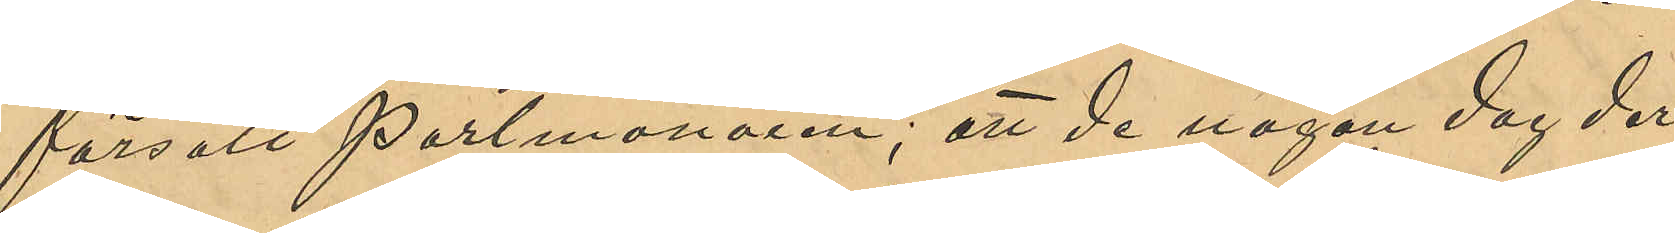försålt portmonaien; att de någon dag der¬
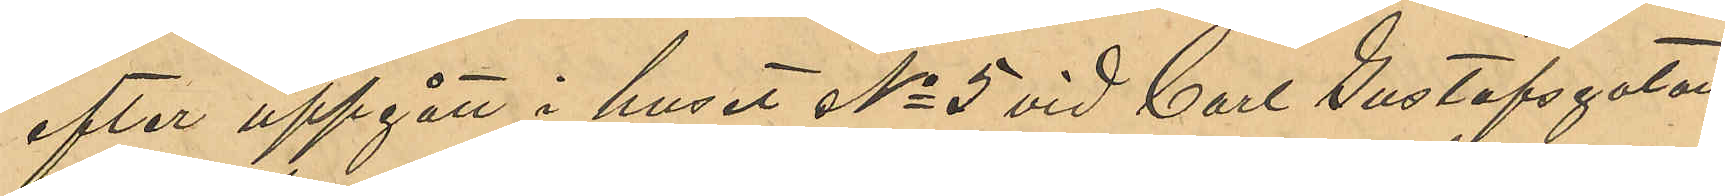efter uppgått i huset No 5 vid Carl Gustafsgatan,
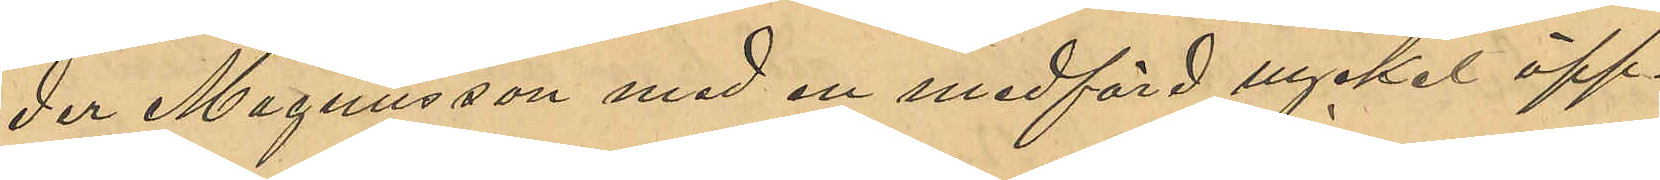der Magnusson med en medförd nyckel öpp¬
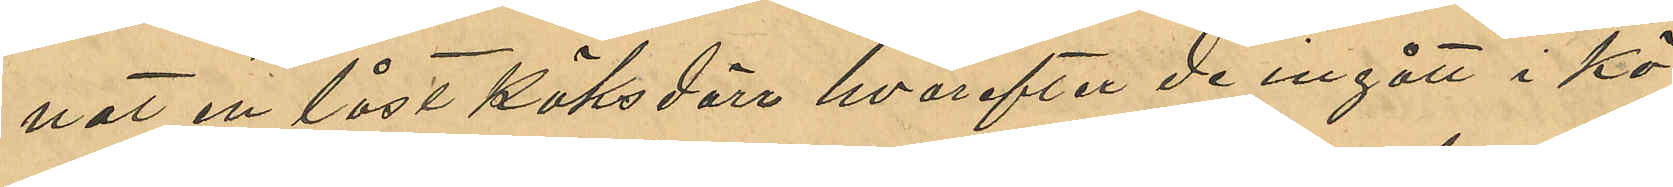nat en låst köksdörr hvarefter de ingått i kö¬
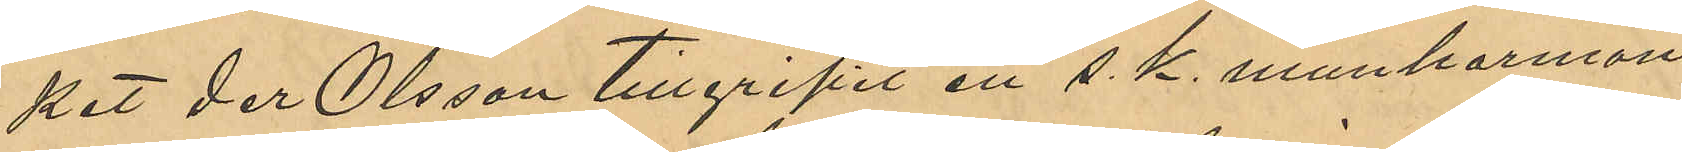ket der Olsson tillgripit en s. k. munharmoni¬
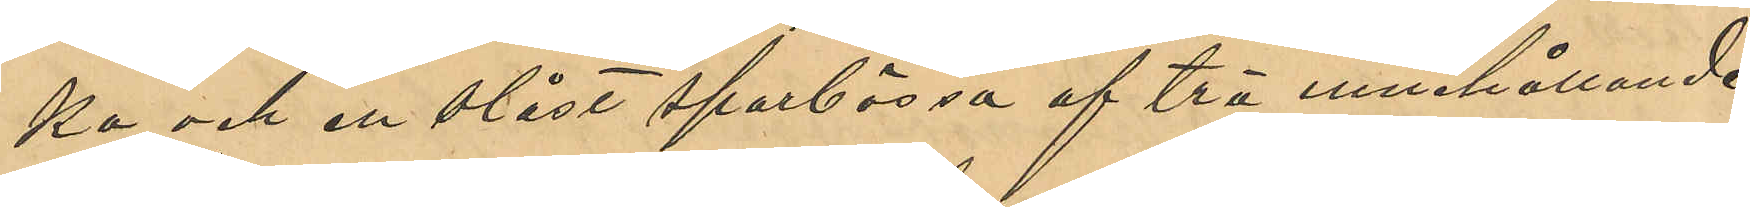ka och en olåst sparbössa af trä innehållande
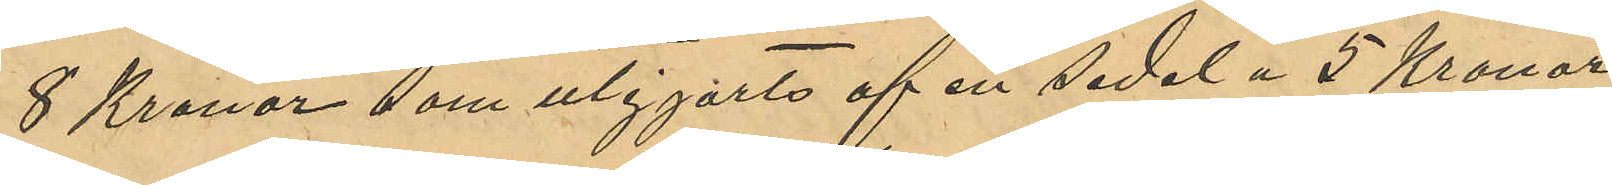8 Kronor som utgjorts af en sedel å 5 Kronor
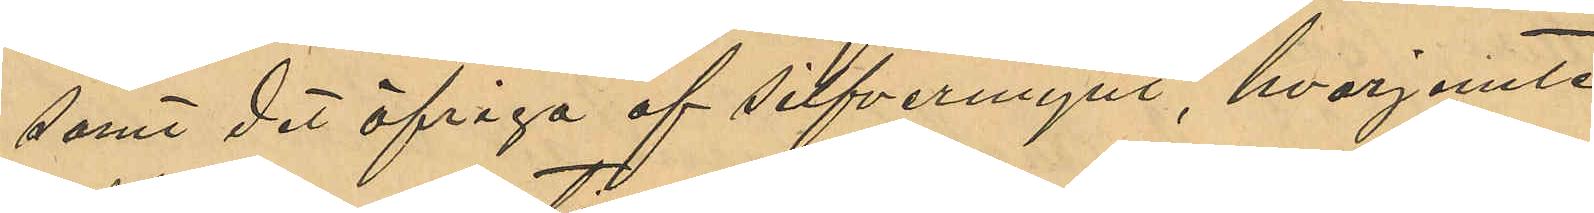samt det öfriga af silfvermynt, hvarjemte
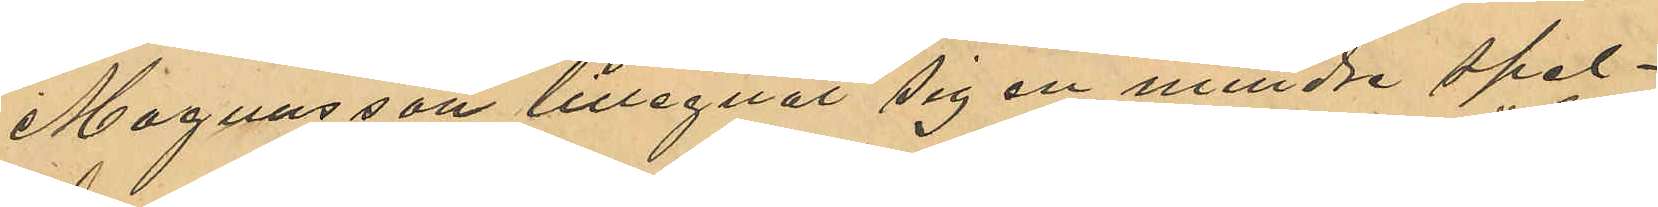Magnusson tillegnat sig en mindre spel¬
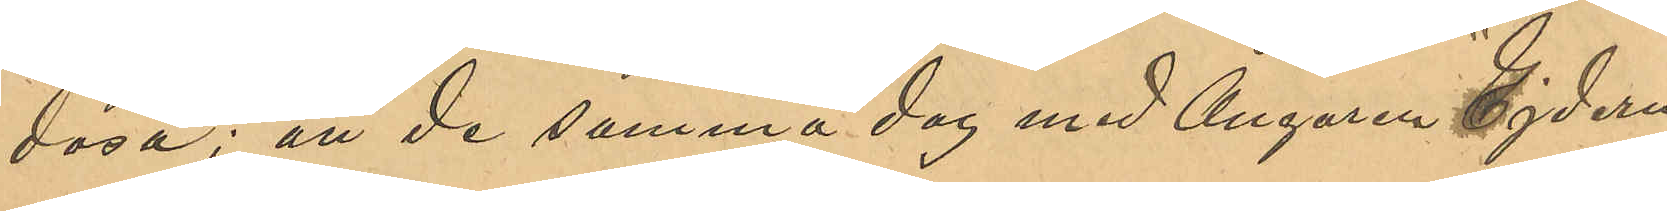dosa; att de samma dag med Ångaren "Ejdern"
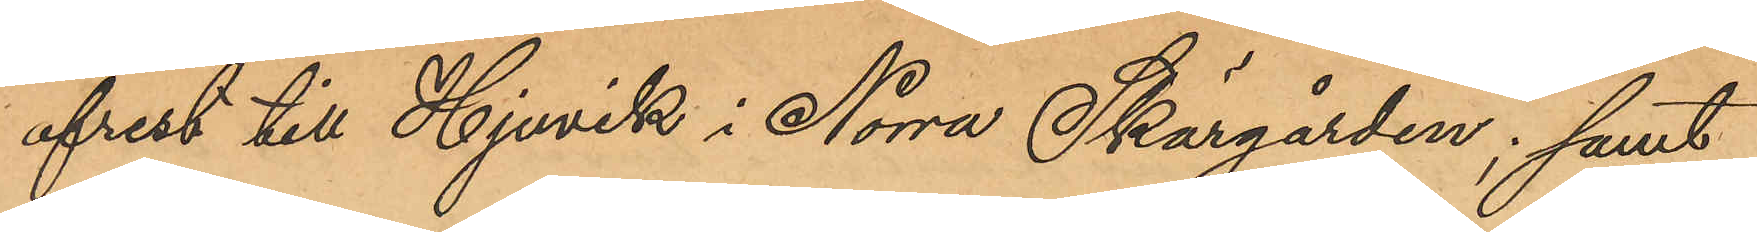afrest till Hjuvik i Norra Skärgården; samt
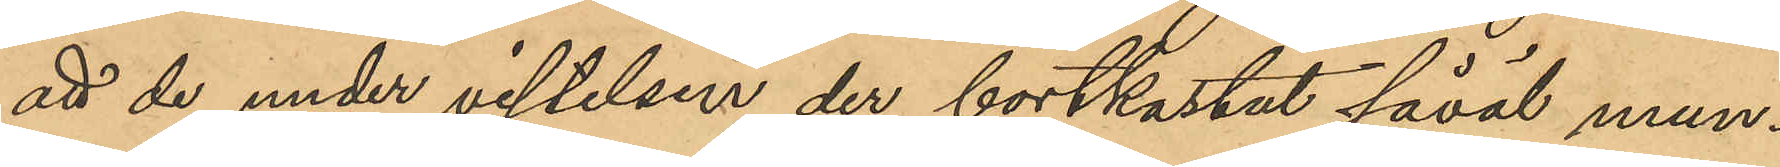att de under vistelsen der bortkastat såväl mun¬
